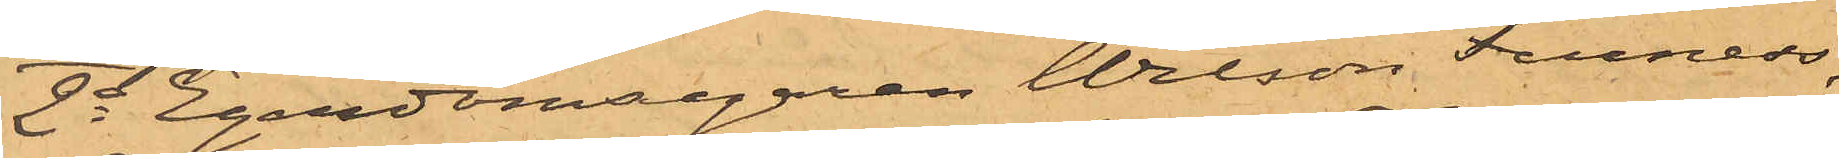2o Egendomsegaren Wilson Furness,
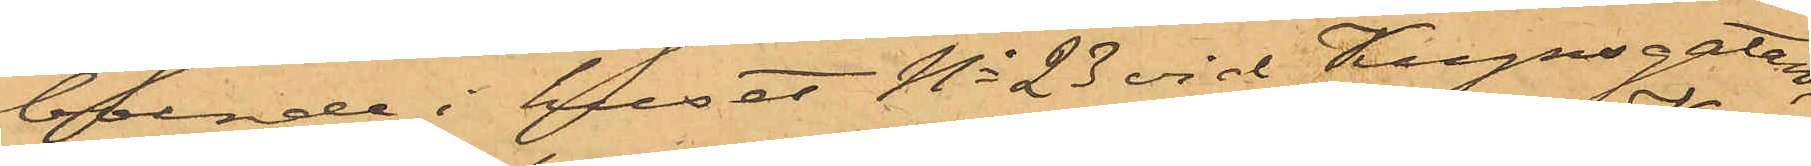boende i huset No 23 vid Kungsgatan,
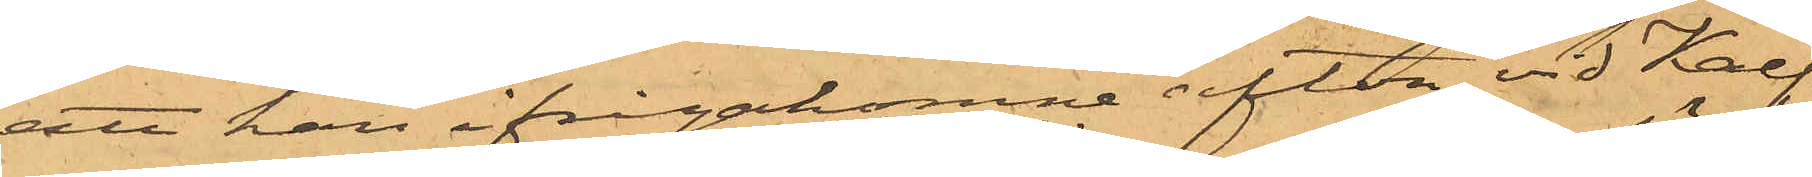att han ifrågakomne afton vid Kalf¬
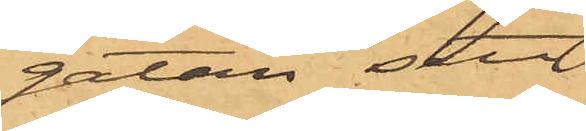gatan sett
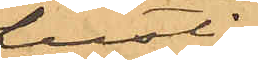Lustig
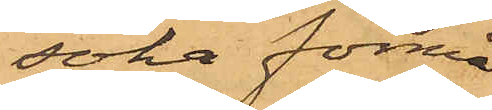söka förmå
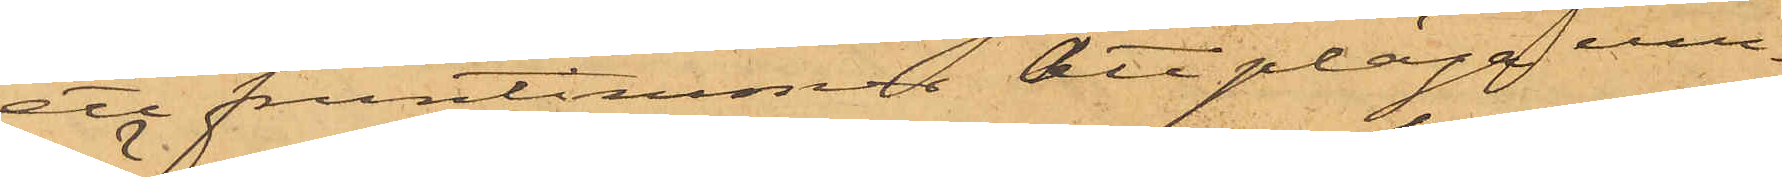ett fruntimmer att pläga um¬
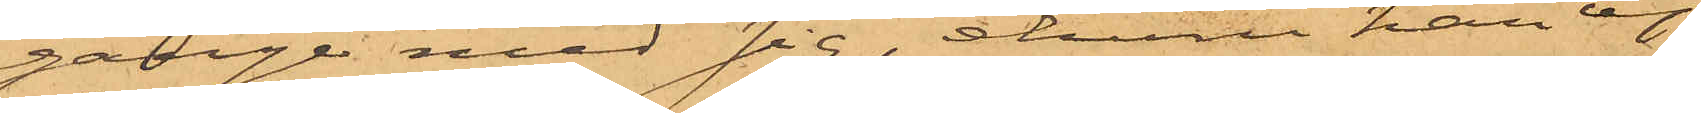gänge med sig, ehuru han ej
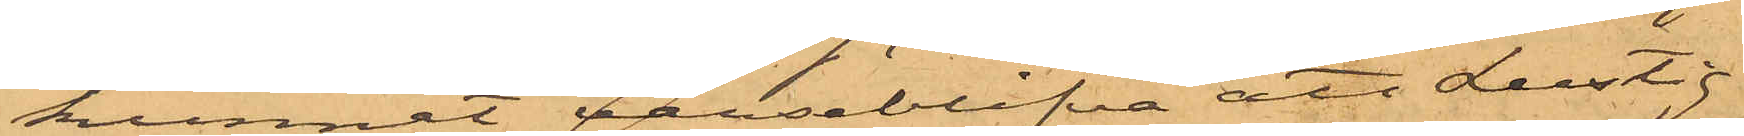kunnat varseblifva att Lustig
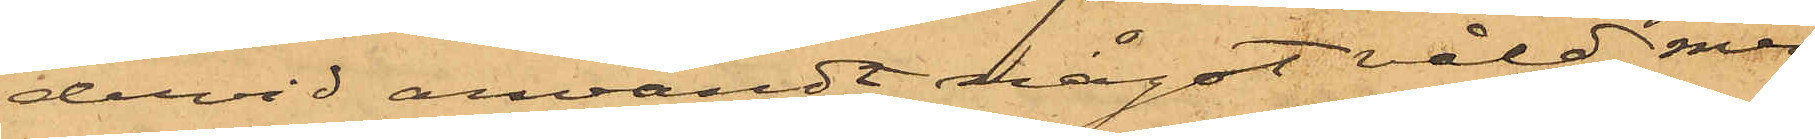dervid användt något våld; men
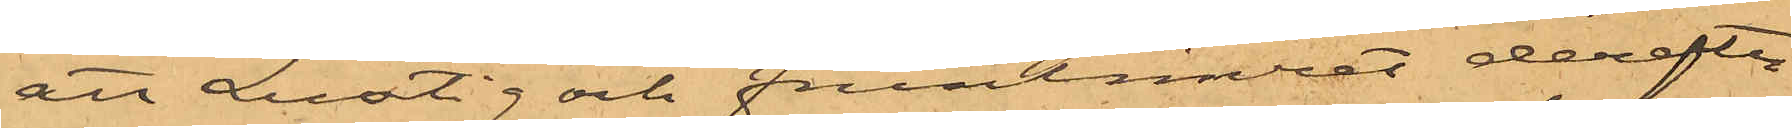att Lustig och fruntimret derefter
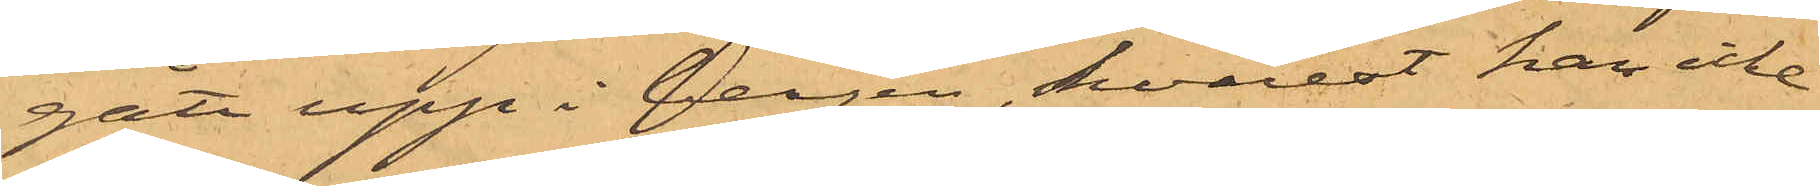gått upp i bergen, hvarest han icke
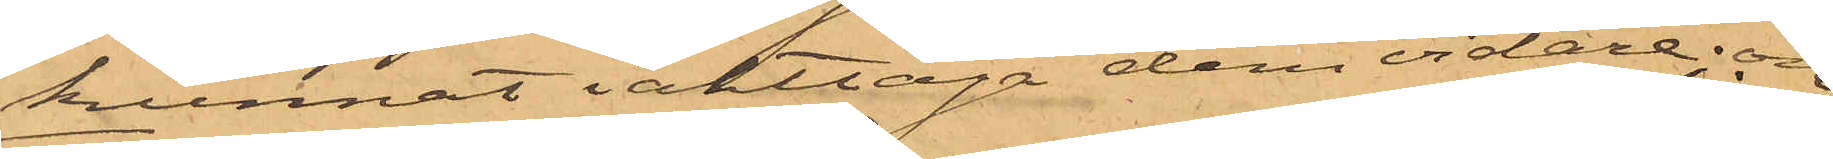kunnat iakttaga dem vidare; och
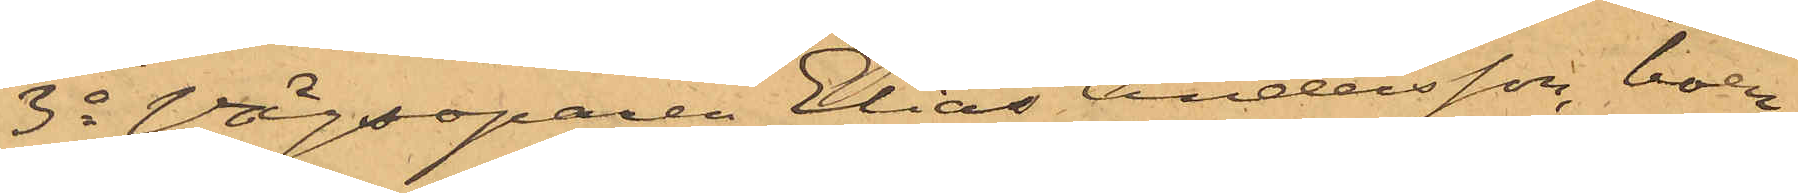3o Vägsoparen Elias Andersson, boen¬
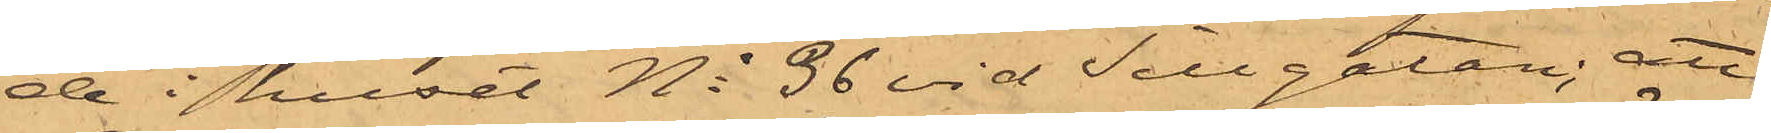de i huset No 36 vid Sillgatan; att
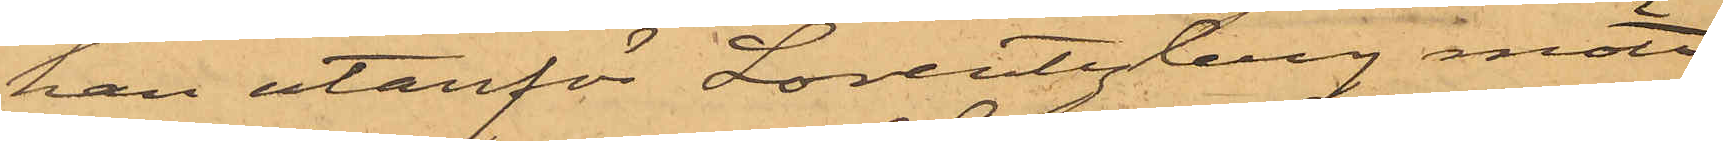han utanför Lorentzberg mött
